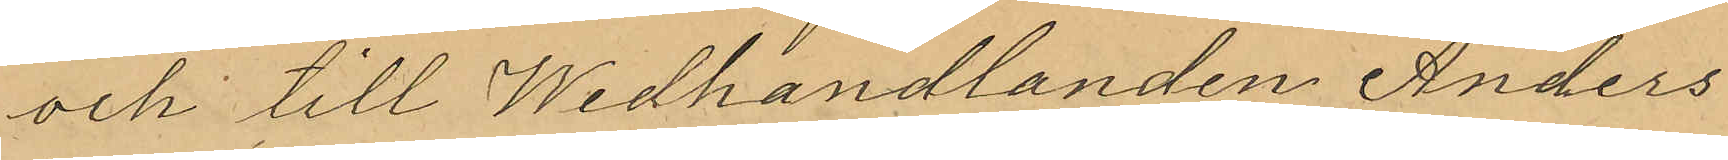och till Wedhandlanden Anders
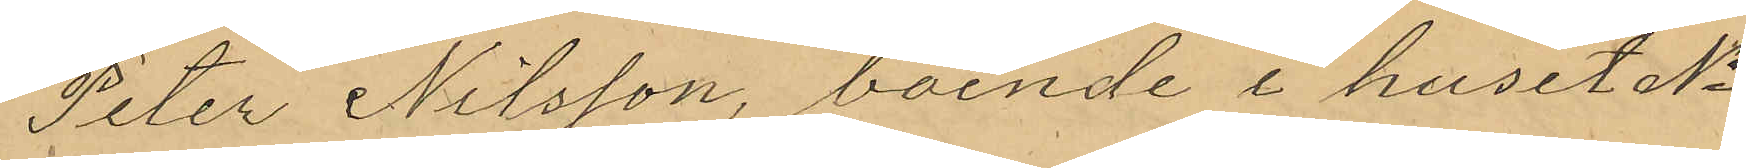Peter Nilsson, boende i huset No
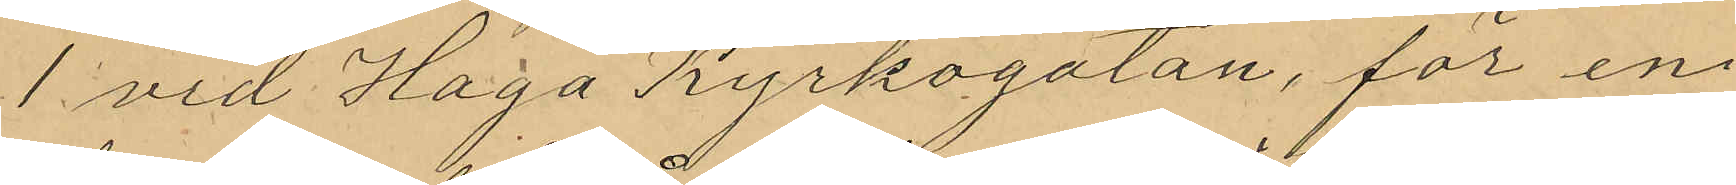1 vid Haga Kyrkogatan, för en
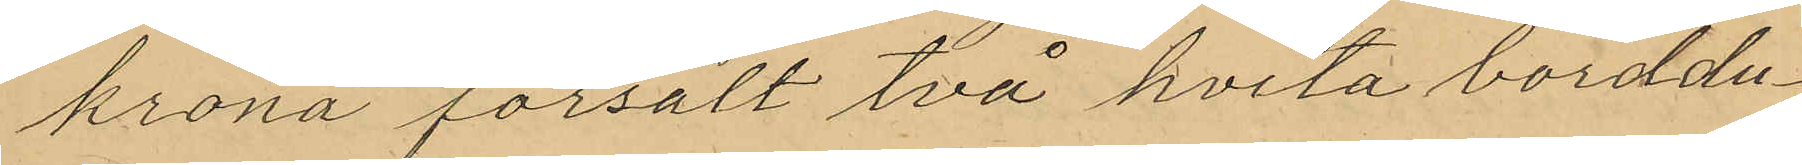krona försålt två hvita borddu¬
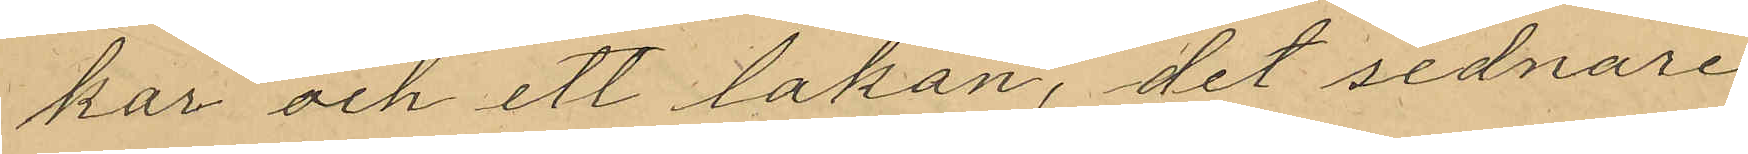kar och ett lakan, det sednare
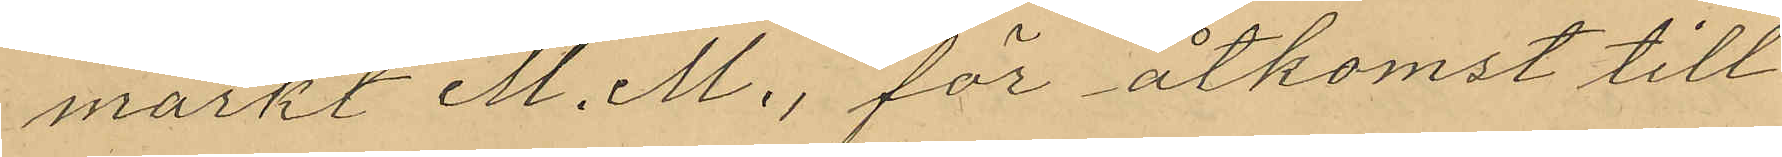märkt M. M., för åtkomst till
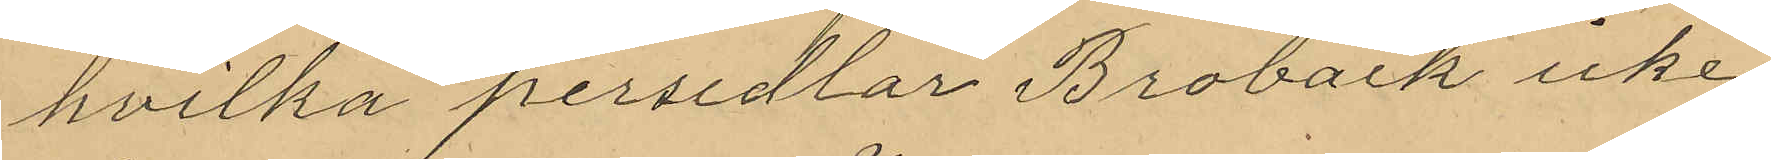hvilka persedlar Broback icke
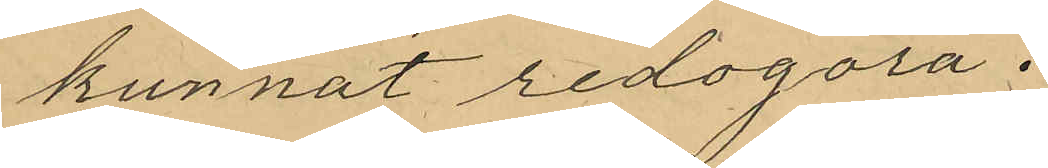kunnat redogöra.
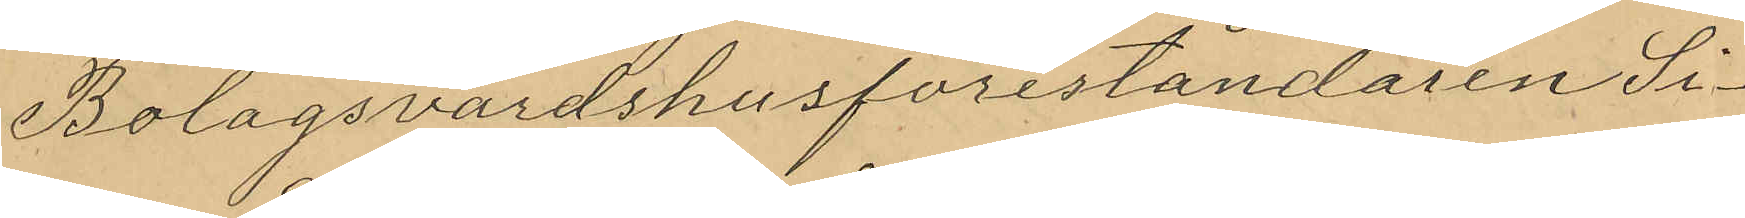Bolagsvärdshusföreståndaren Si¬
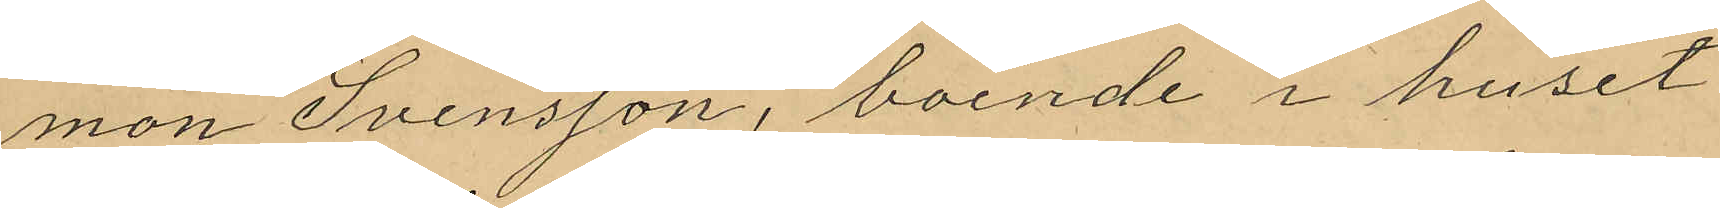mon Svensson, boende i huset
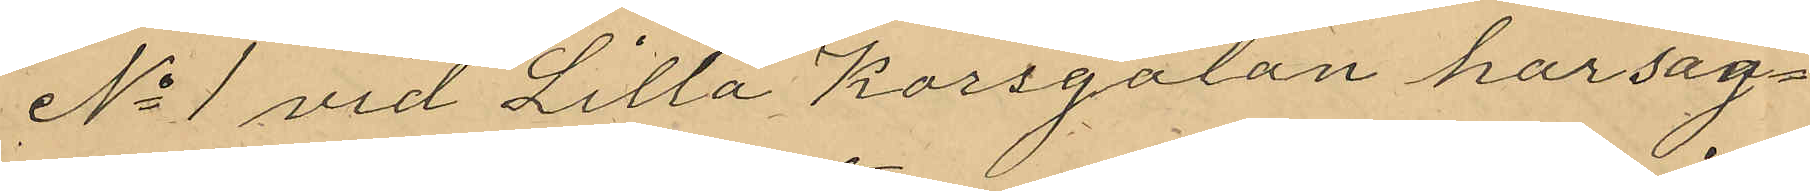No 1 vid Lilla Korsgatan har sag¬
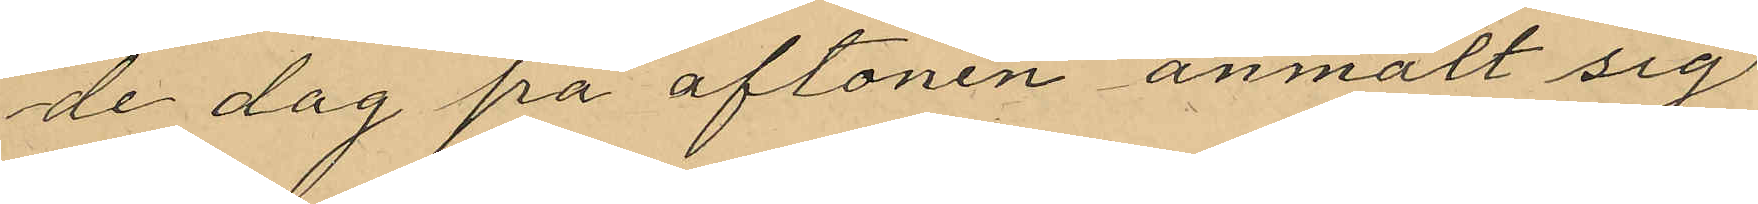de dag på aftonen anmält sig
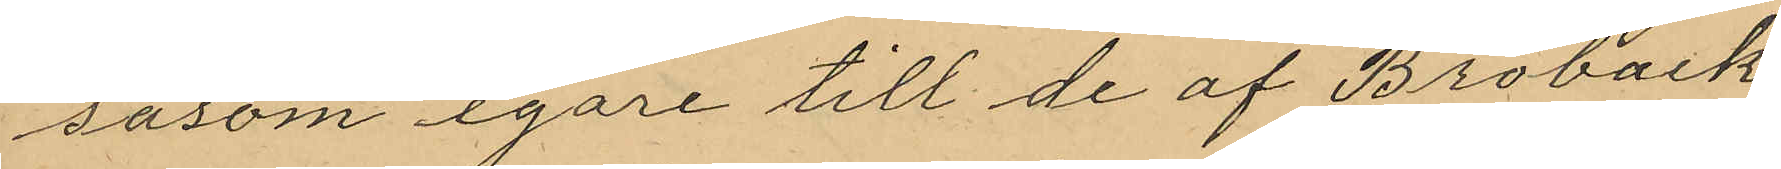såsom egare till de af Broback
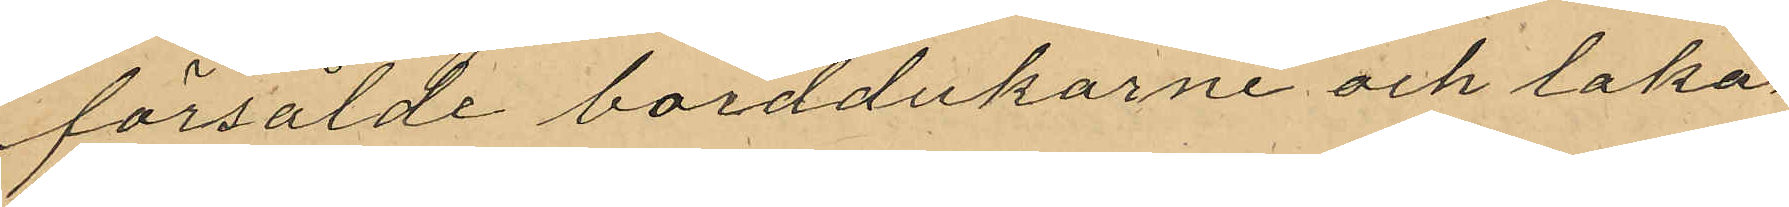försålde borddukarne och laka¬
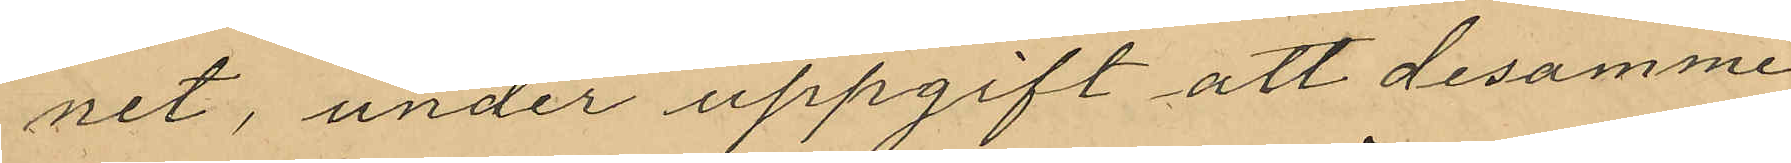net, under uppgift att desamme
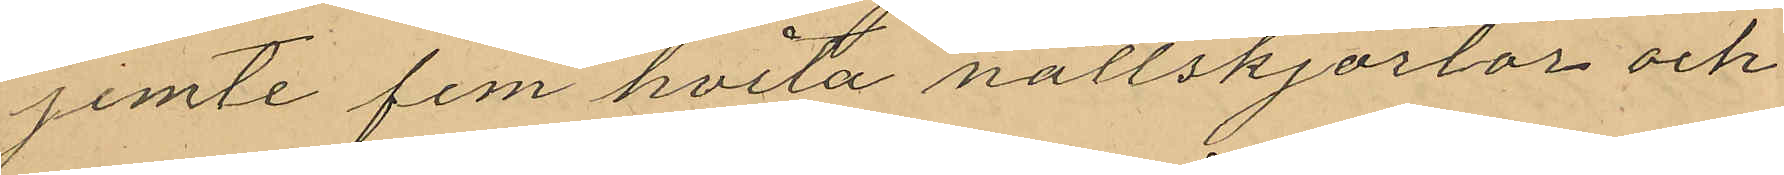jemte fem hvita nattskjortor och
